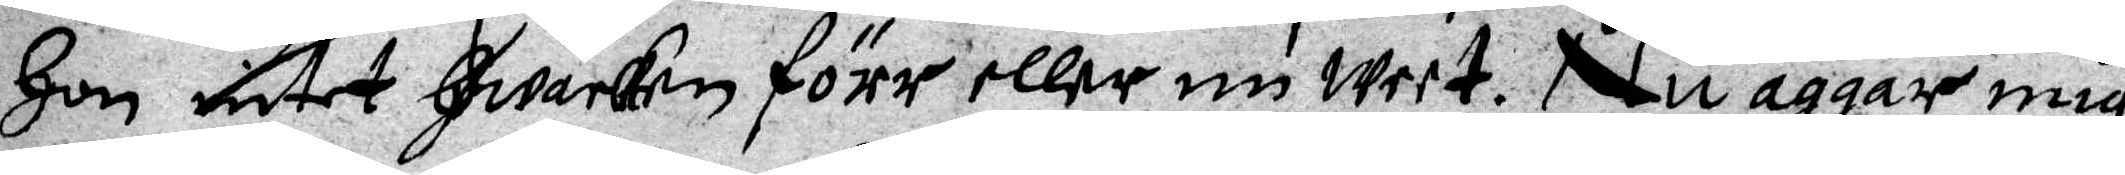Hon intet Hwarken förr eller nu weet. Nu aggar mig
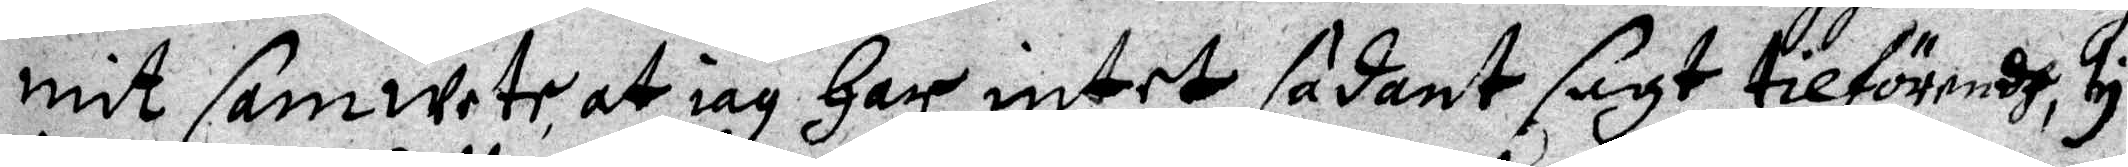mit samwete, at iag Har intet sådant sagt tilförendh, ty
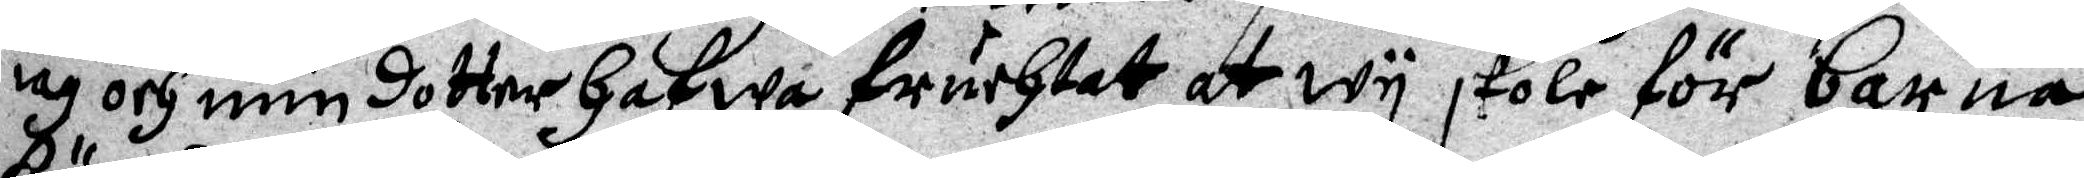iag och min dotter Hafwa fruchtat at wy skole för barna¬
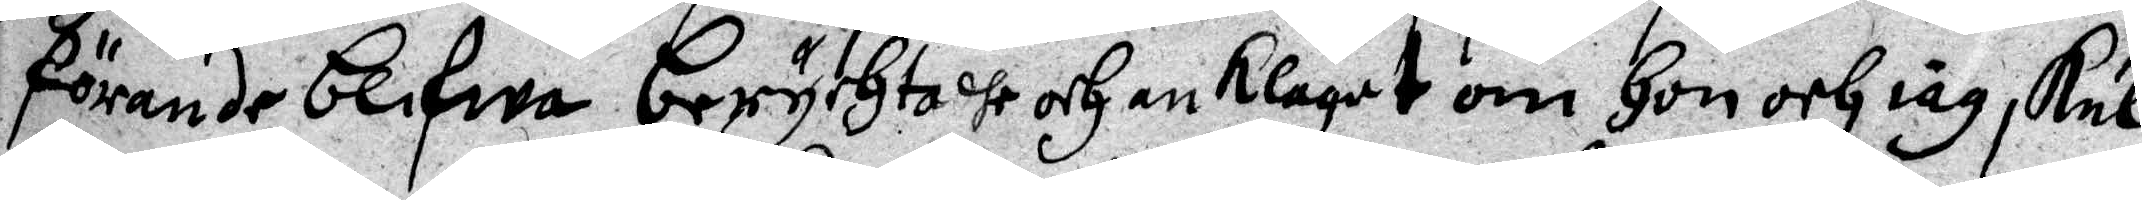förande blifwa berychtade och anklagat om Hon och iag skul¬
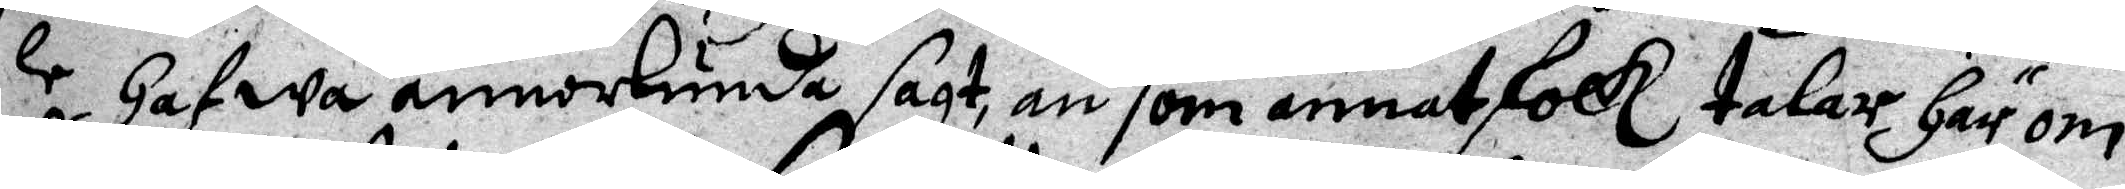le Hafwa annorlunda sagt än som annat folk talar Härom.
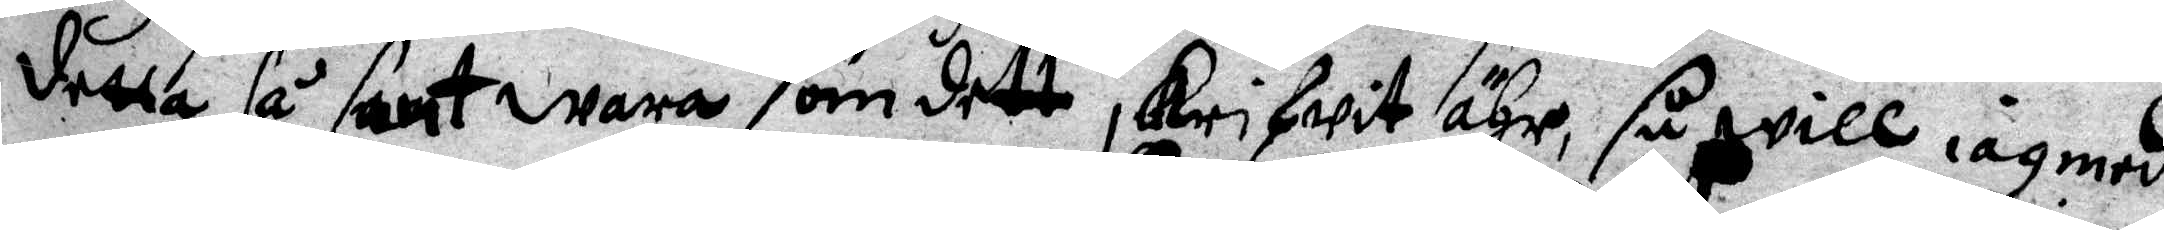Detta så sant wara som dett skrifwit ähr, så will iag med
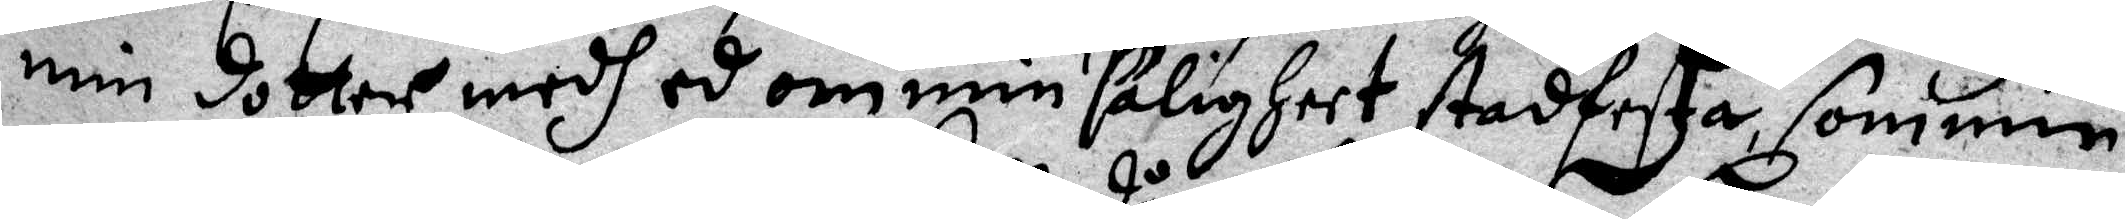min dotter medh ed om min saligheet stadfesta, som min
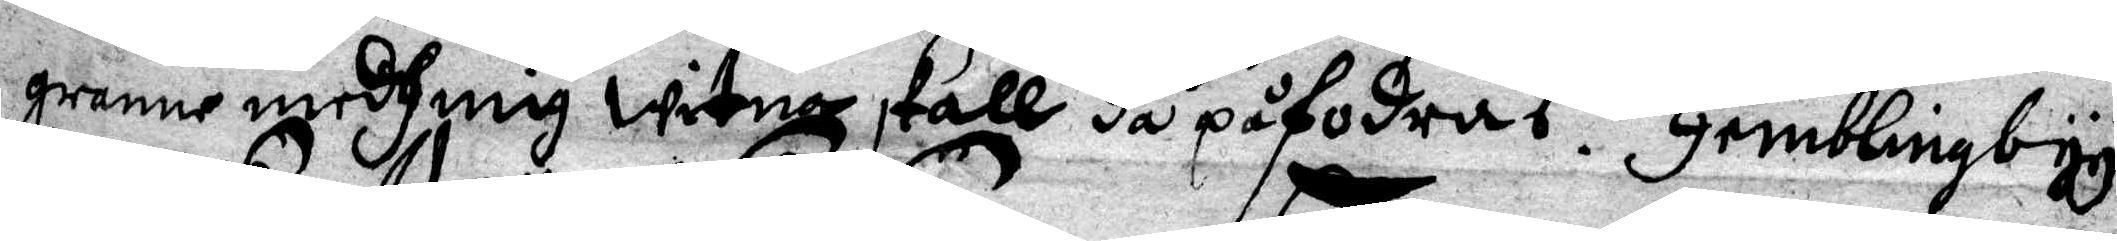granne medh mig witna skall då påfordras. Hemblingbyy
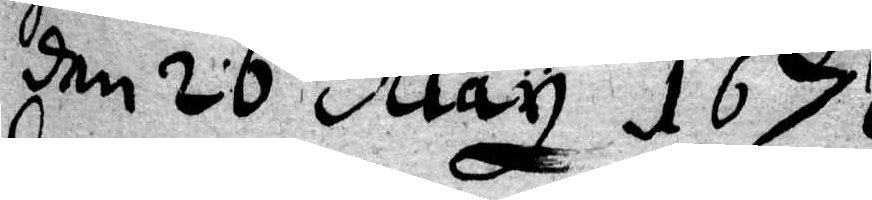den 26 May 1676
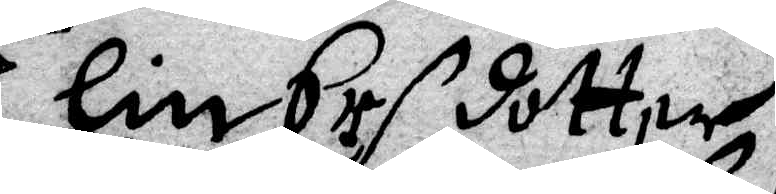Elin Ers dotter
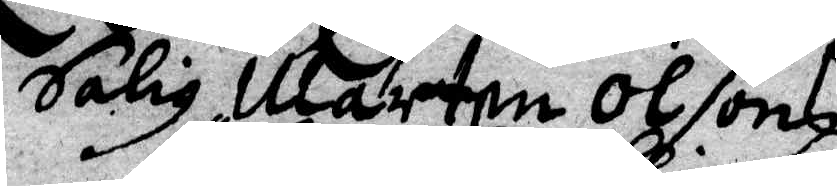Salig Mårten Olsons
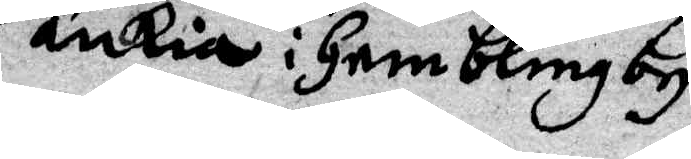änkia i Hemblinby
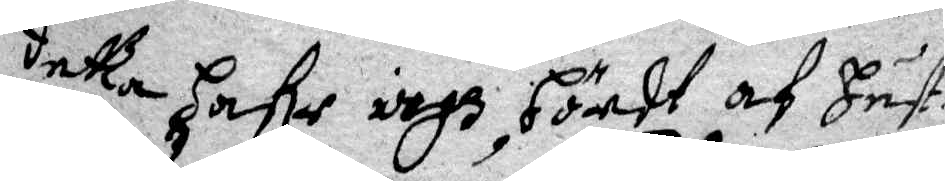detta Hahr iagh, Hördt af Hust.
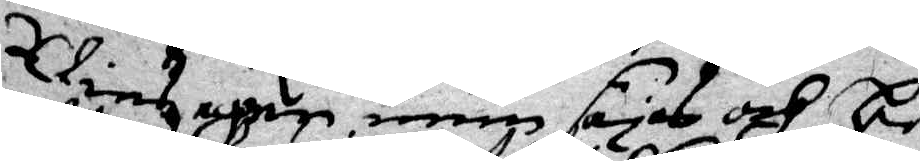Elinz egen mun säjas och be¬
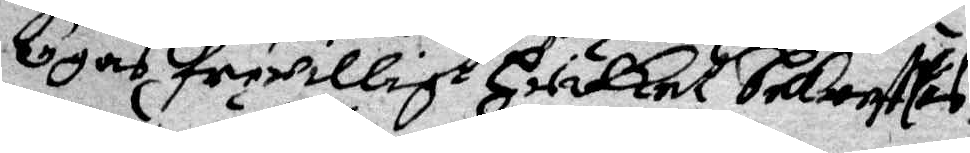tygas friwilligt Hwilket bekrefttas
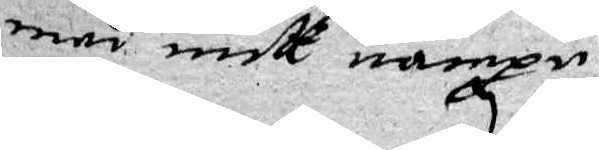med mitt nampn.
